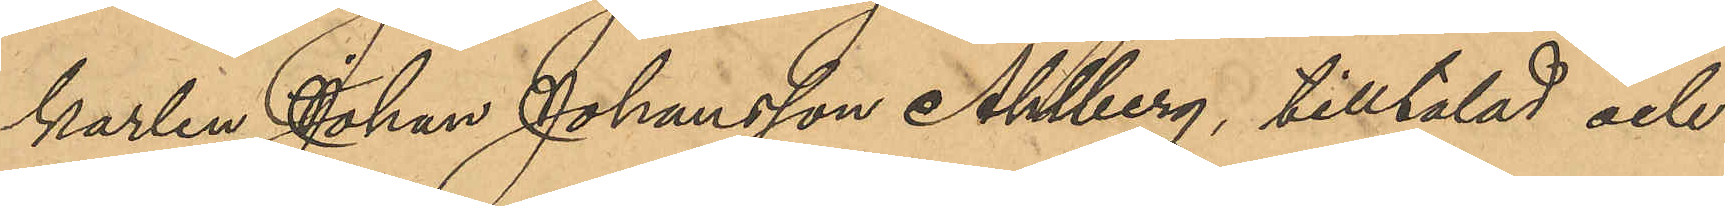karlen Johan Johansson Ahlberg, tilltalad och
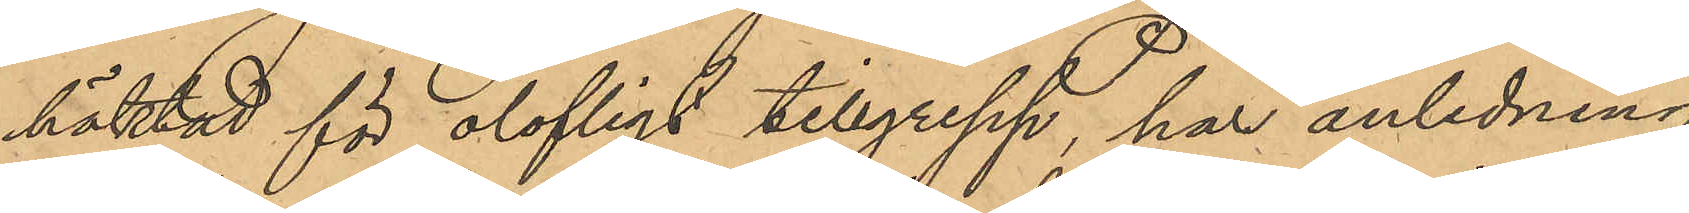häktad för olofligt tillgrepp, har anledning
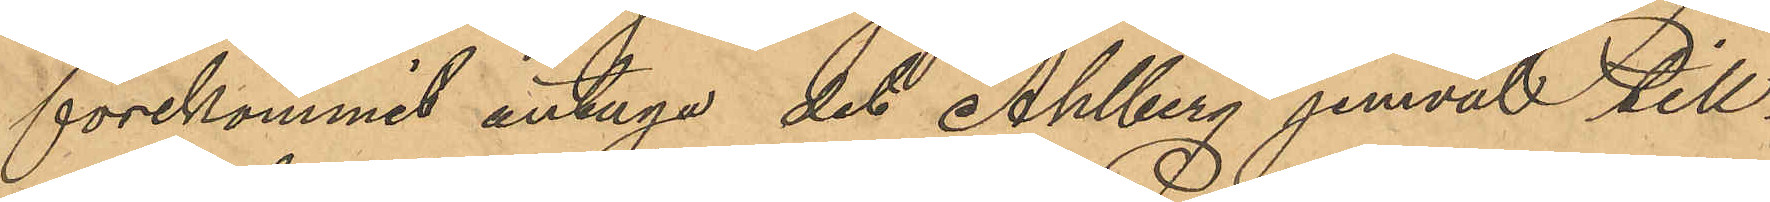förekommit antaga det Ahlberg, jemväl till¬
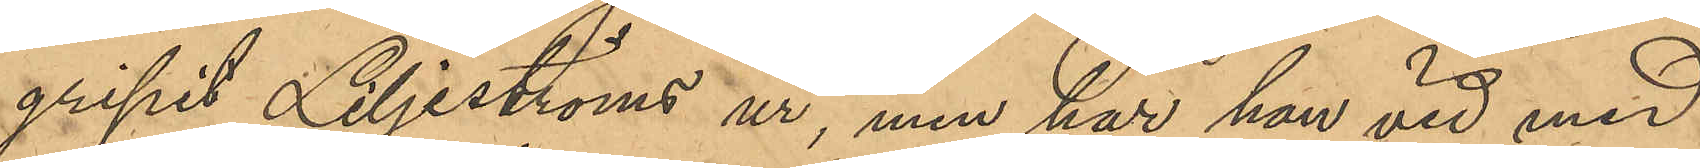gripit Liljeströms ur, men har han vid med
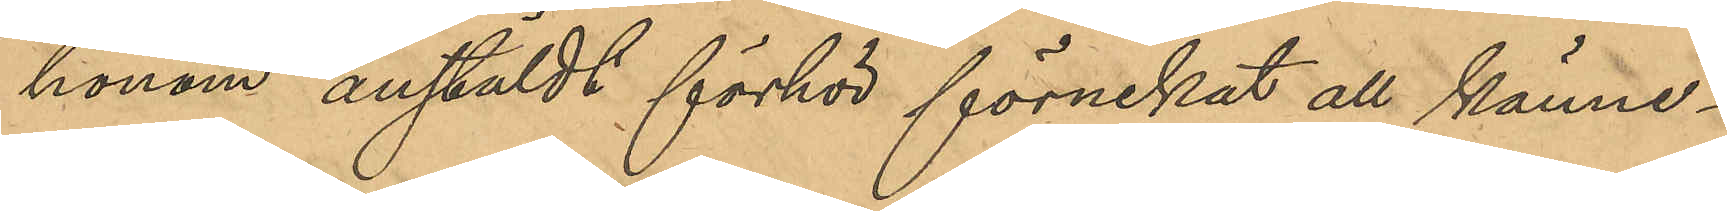honom anstäldt förhör förnekat all känne¬
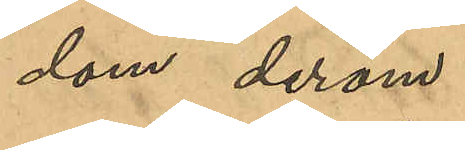dom derom.
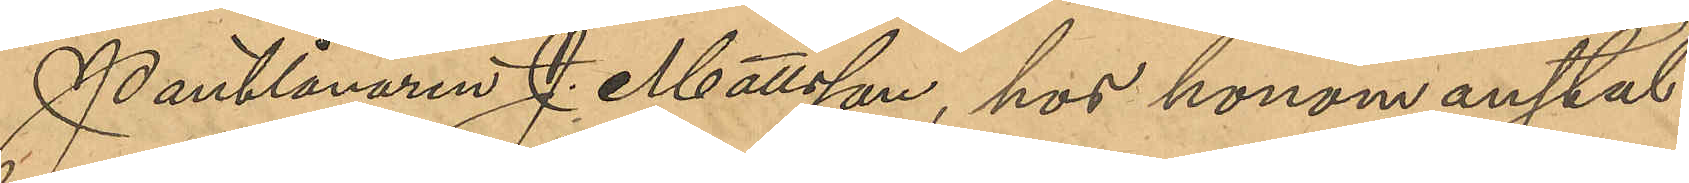Pantlånaren J. Mattsson, hos honom anstäl¬
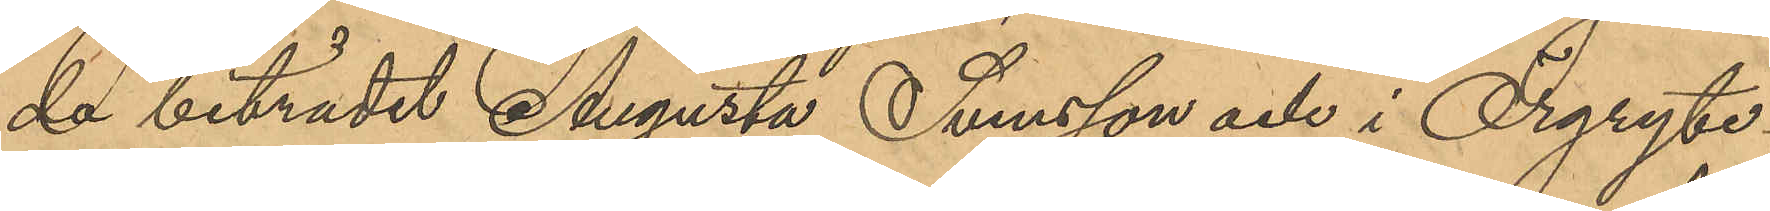da biträdet Augusta Svensson och i Örgryte
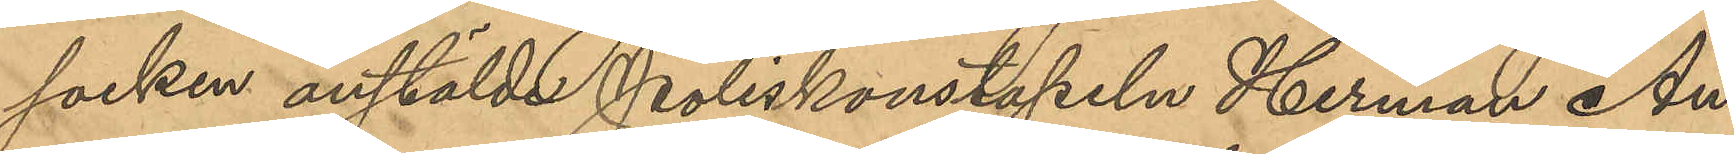socken anstälde Poliskonstapeln Herman An¬
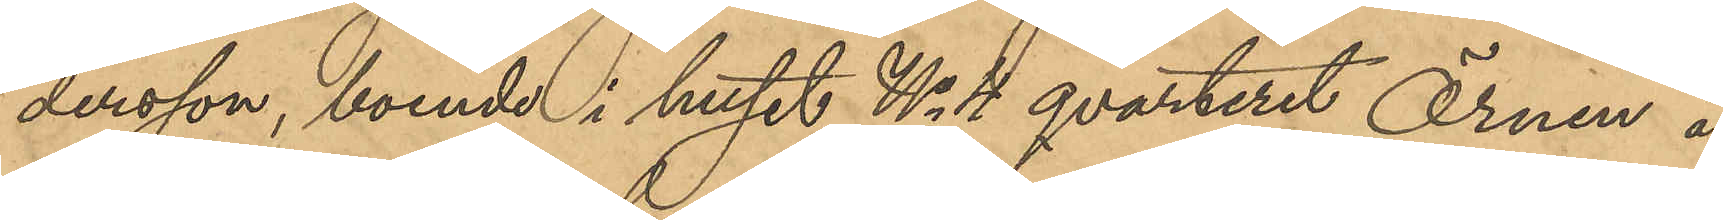dersson, boende i huset No 4 qvarteret Örnen å
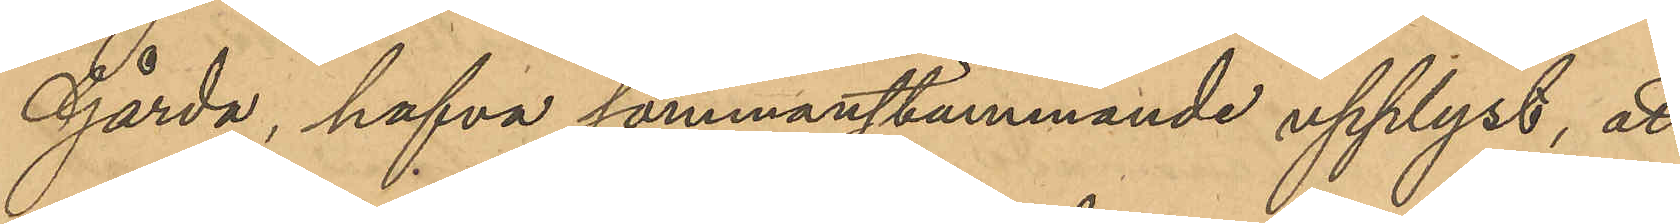Gårda, hafva sammanstämmande upplyst, att
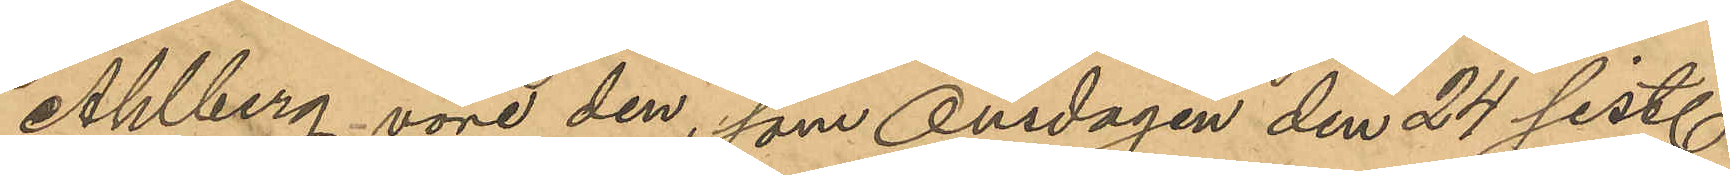Ahlberg vore den, som Onsdagen den 24 sist.
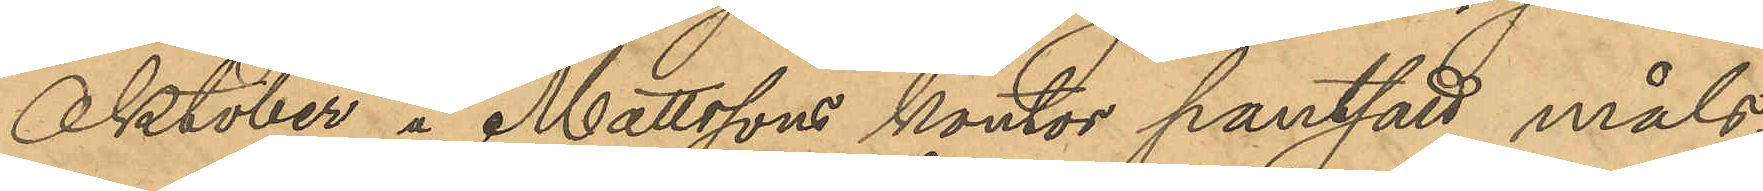Oktober å Mattssons kontor pantsatt måls¬
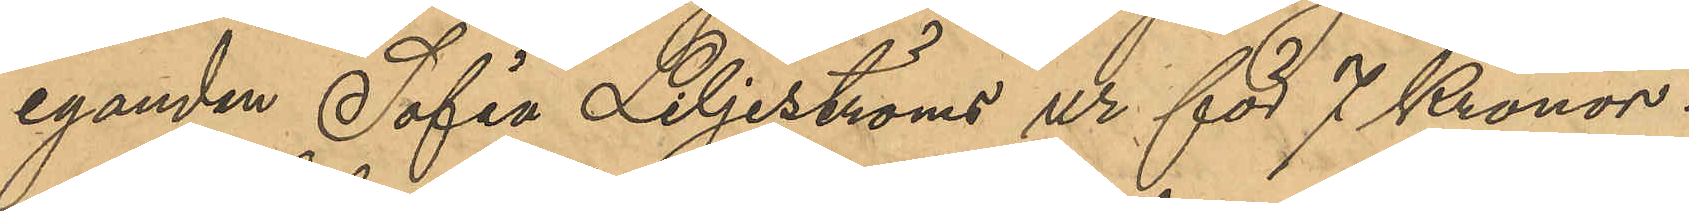eganden Sofia Liljeströms ur för 7 Kronor.
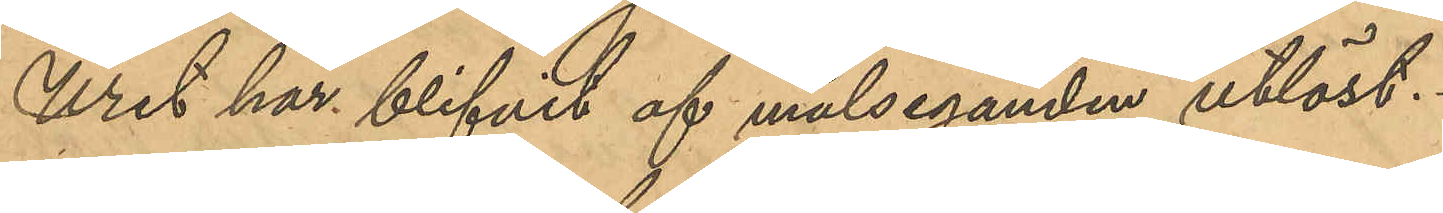Uret har af målseganden utlöst.
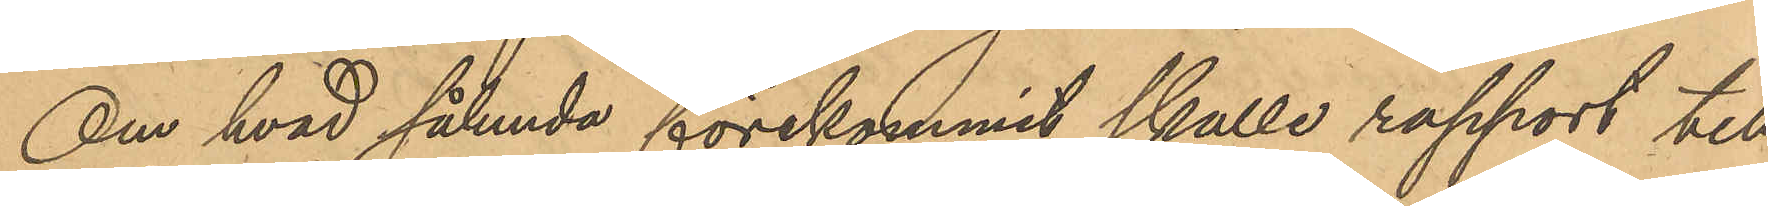Om hvad sålunda förekommit skulle rapport till
